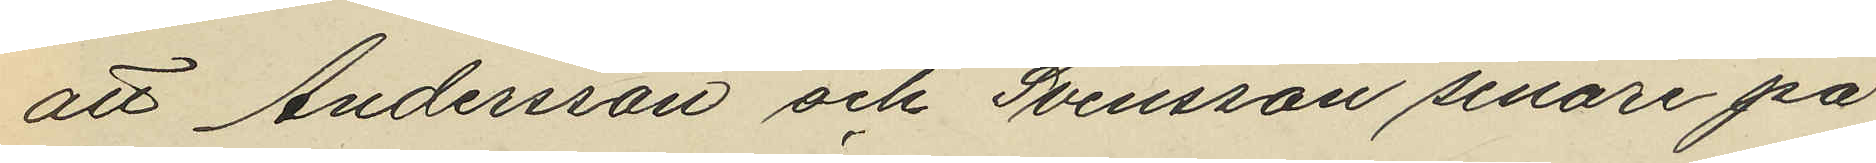att Andersson och Svensson senare på
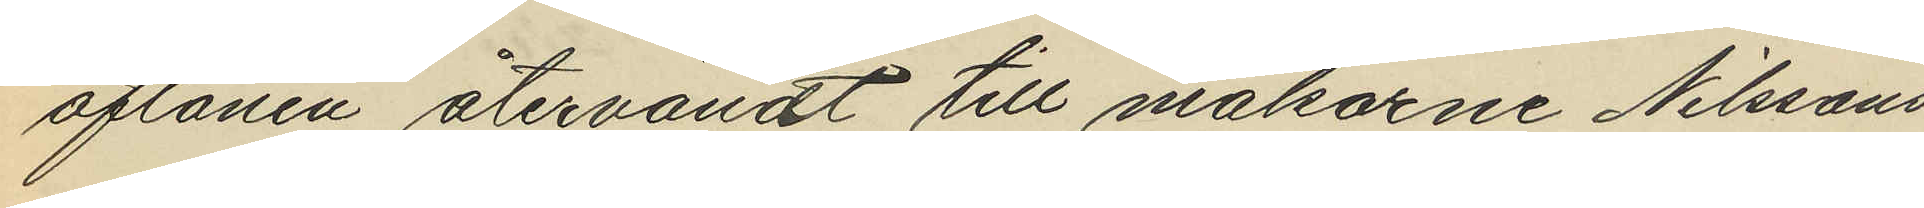aftonen återvändt till makarne Nilsson
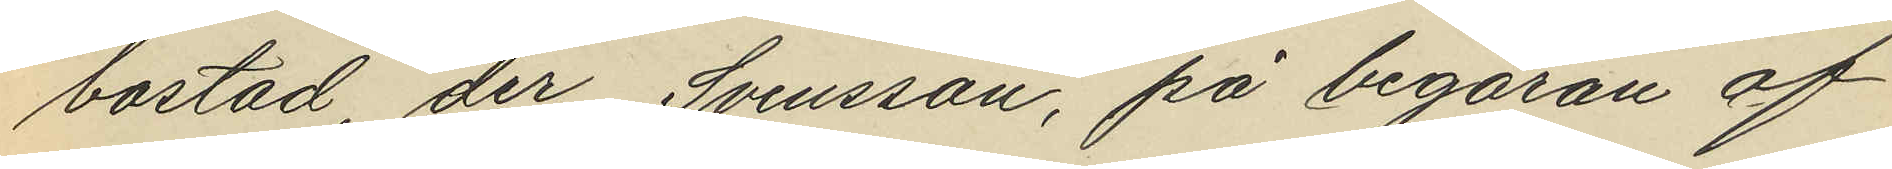bostad, der Svensson, på begäran af
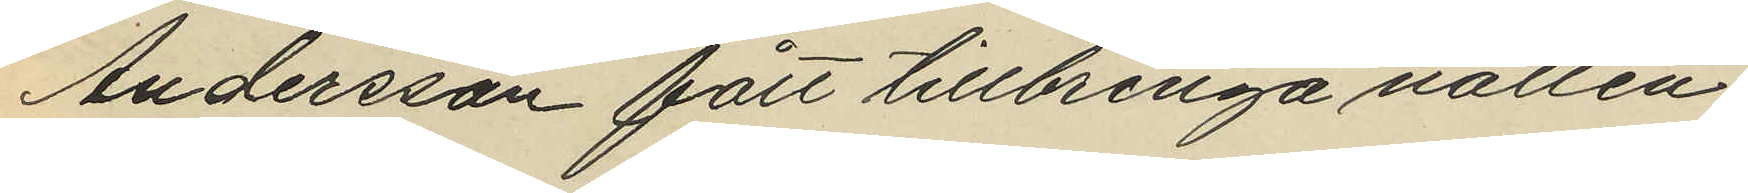Andersson fått tillbringa natten,
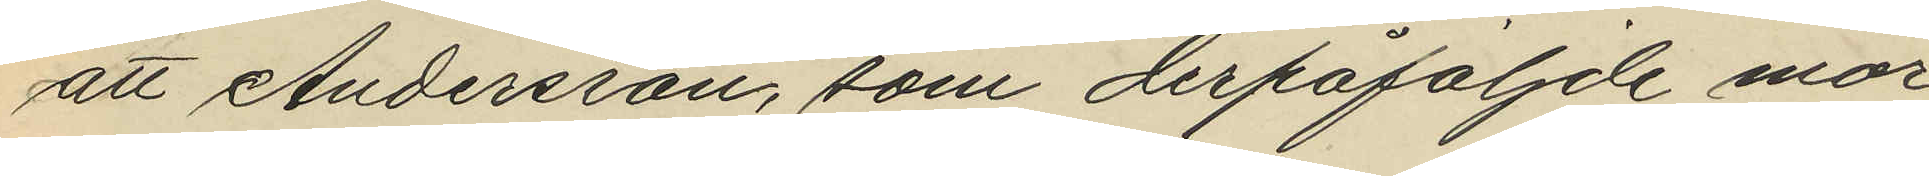att Andersson, som derpåföljnde mor¬
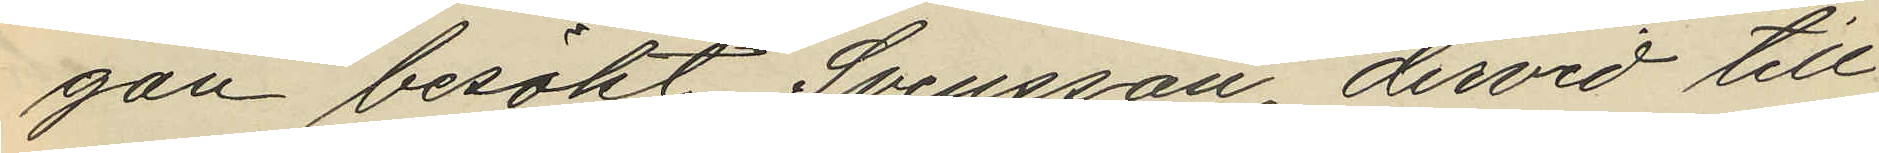gon besökt Svensson dervid till
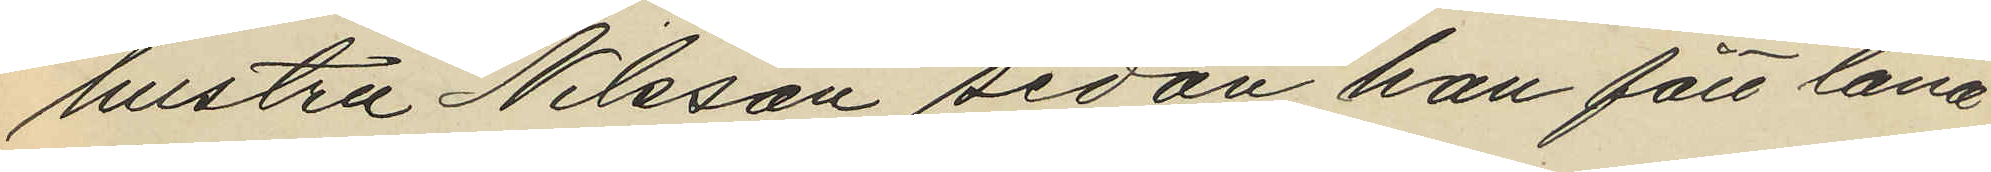hustru Nilsson sedan han fått låna
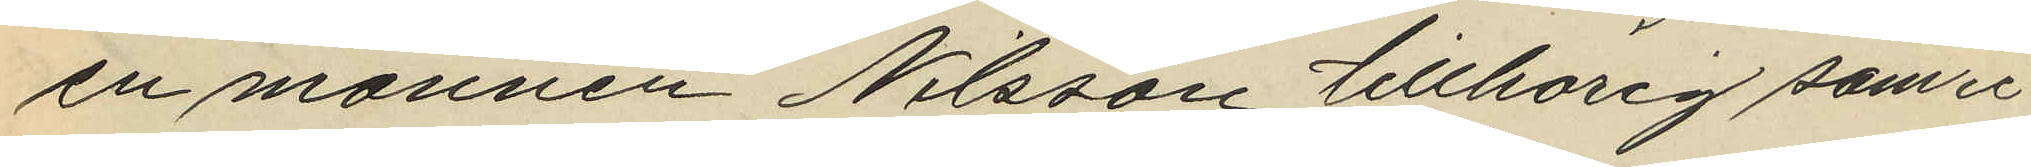en mannen Nilsson tillhörig sämre
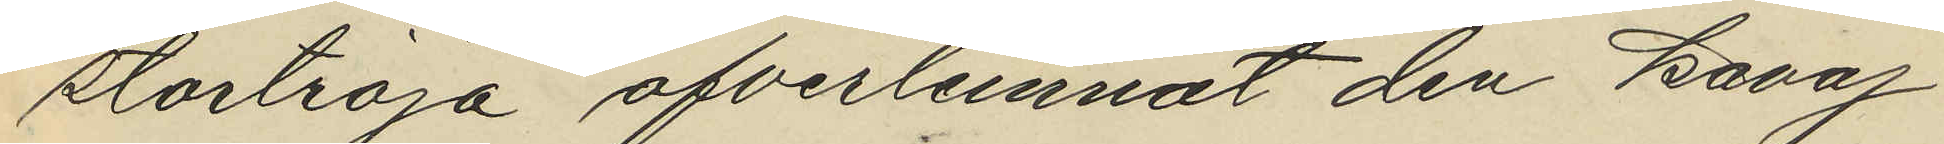stortröja öfverlemnat den Kavaj
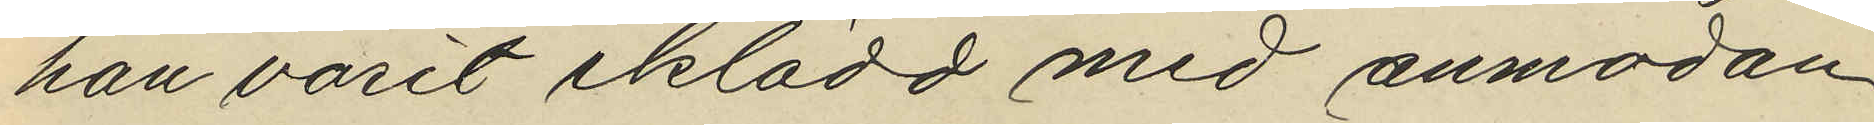han varit iklädd med anmodan
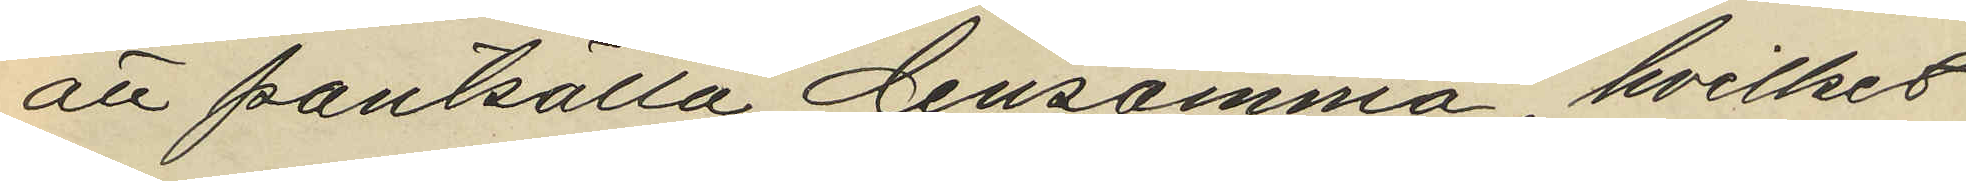att pantsätta densamma, hvilket
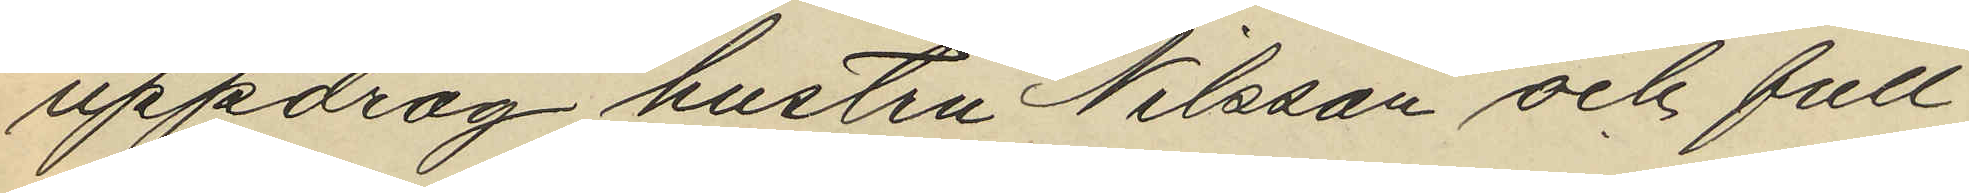uppdrag hustru Nilsson och full¬
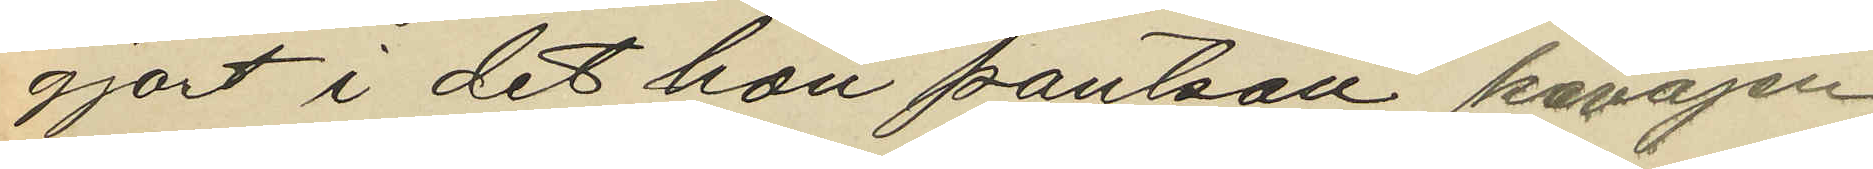gjort i det hon pantsatt kavajen
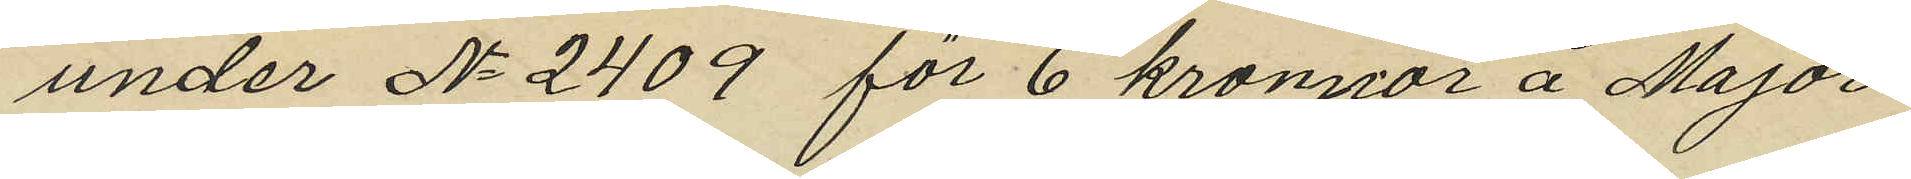under No 2409 för 6 kronor å Major¬
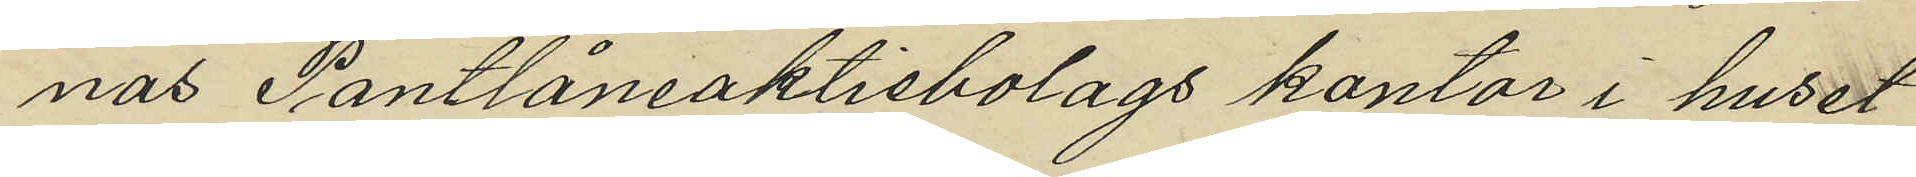nas Pantlåneaktiebolags kontor i huset
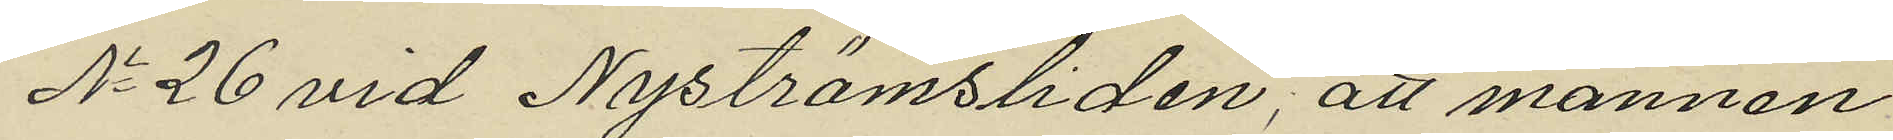No 26 vid Nyströmsliden; att mannen
